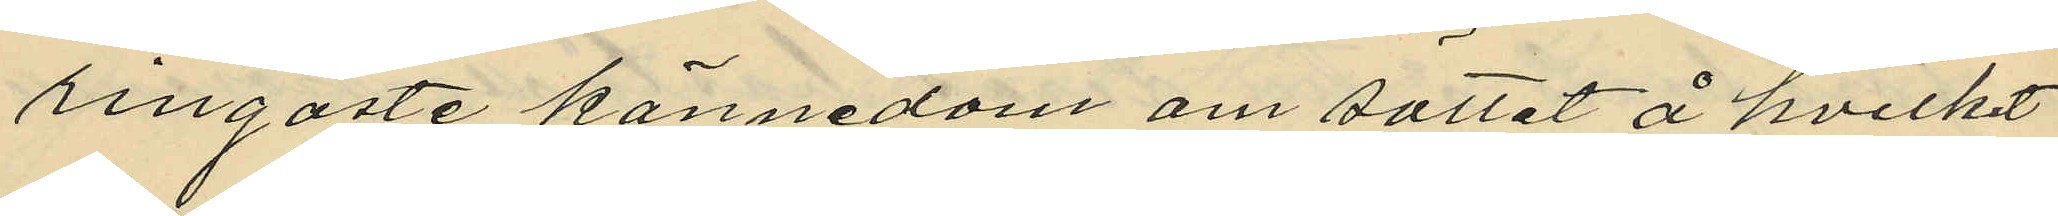ringaste kännedom om sättet å hvilket
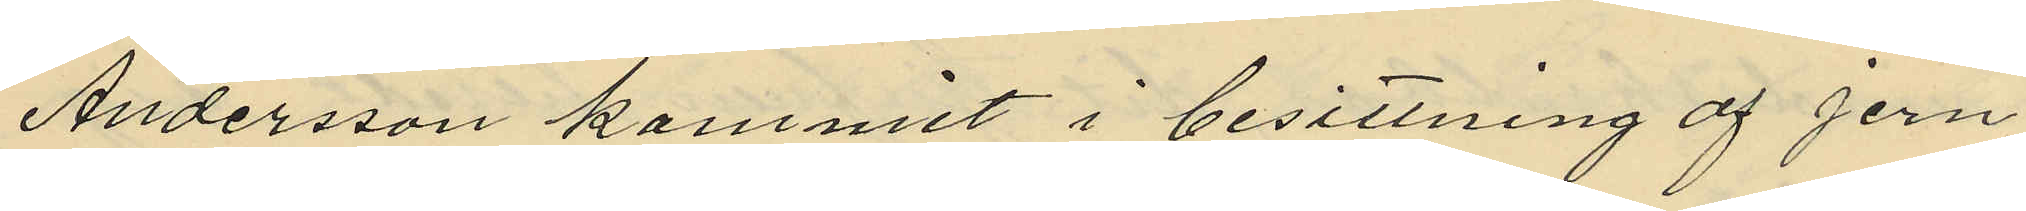Andersson kommit i besittning af jern¬
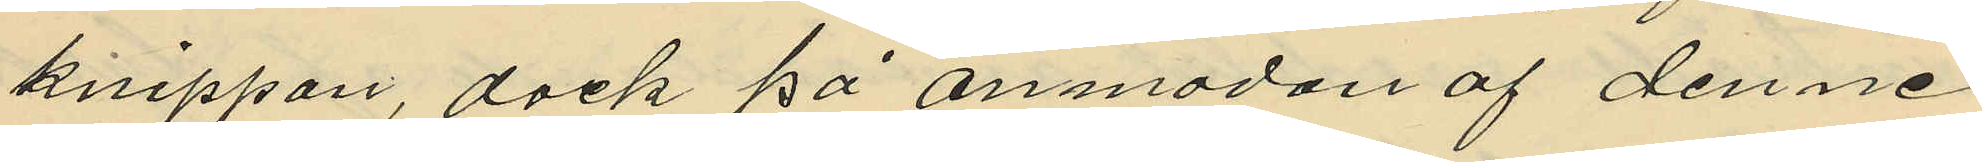knippan, dock på anmodan af denne
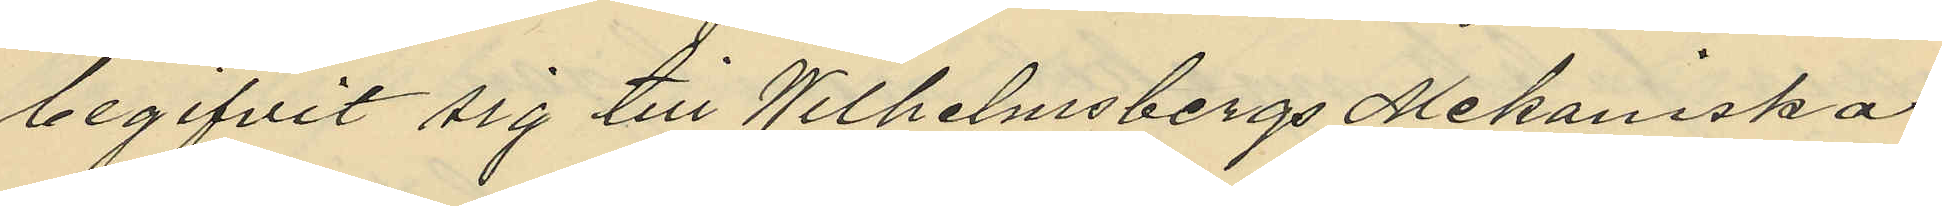begifvit sig till Wilhelmsbergs Mekaniska
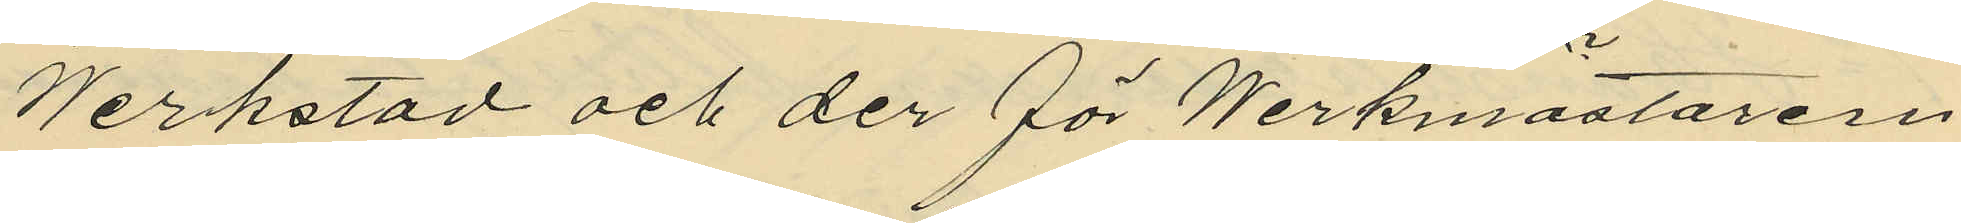Werkstad och der för Werkmästaren
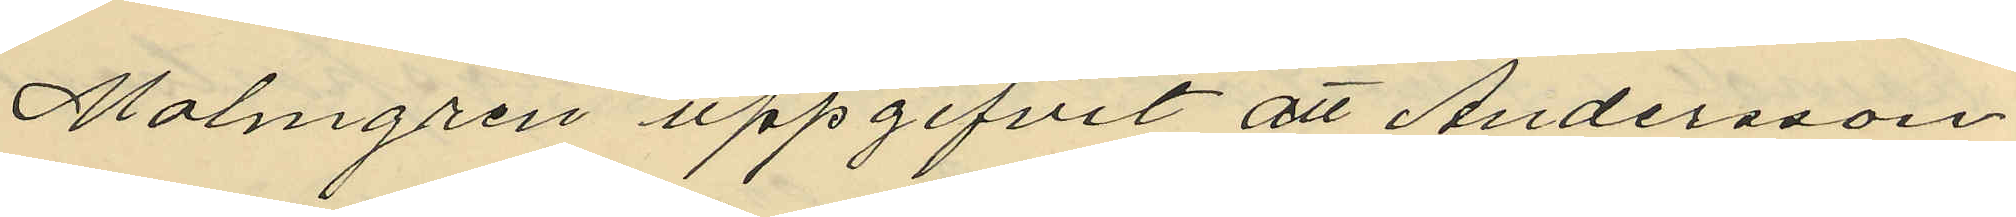Malmgren uppgifvit att Andersson
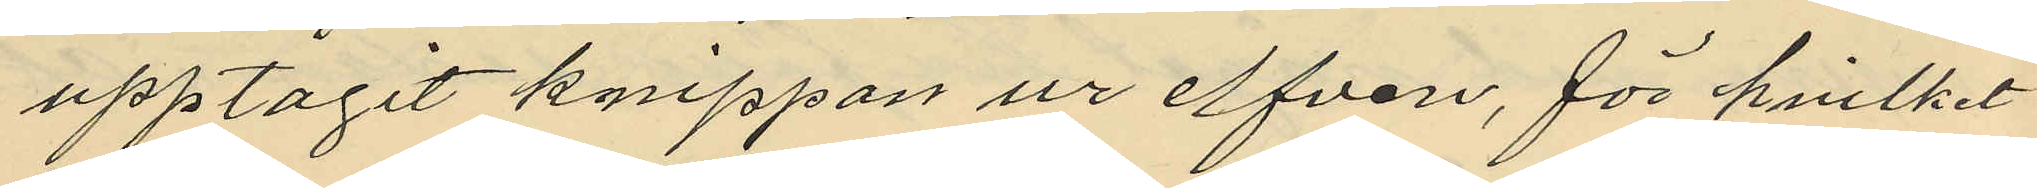upptagit knippan ur elfven, för hvilket
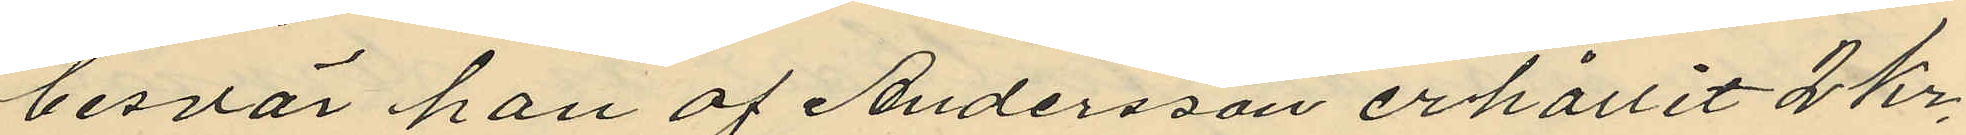besvär han af Andersson erhållit 2 Kr.
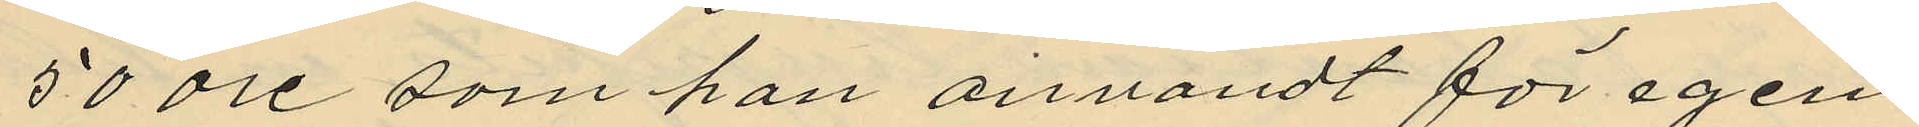50 öre som han anvandt för egen
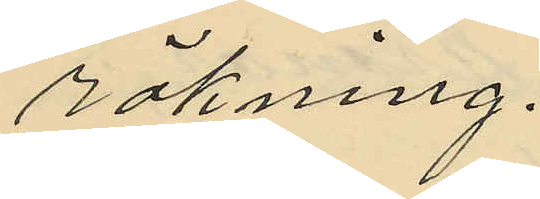räkning.
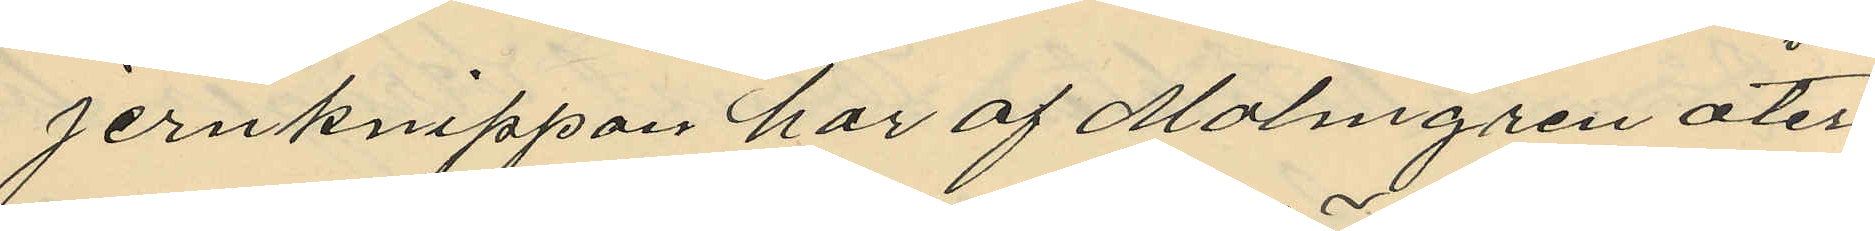jernknippan har af Malmgren åter¬
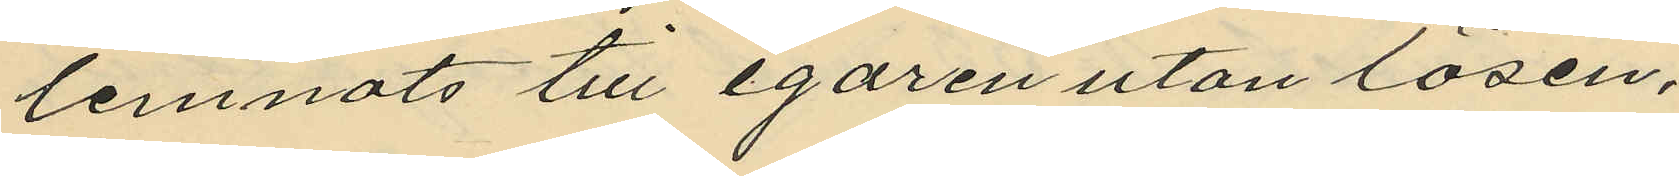lemnats till egaren utan lösen.
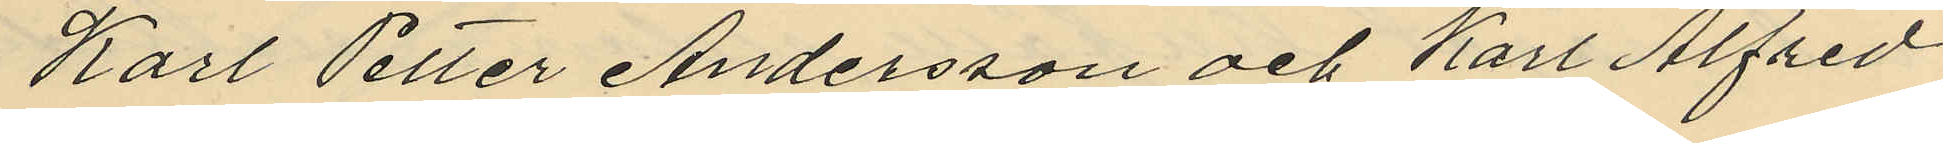Karl Petter Andersson och Karl Alfred
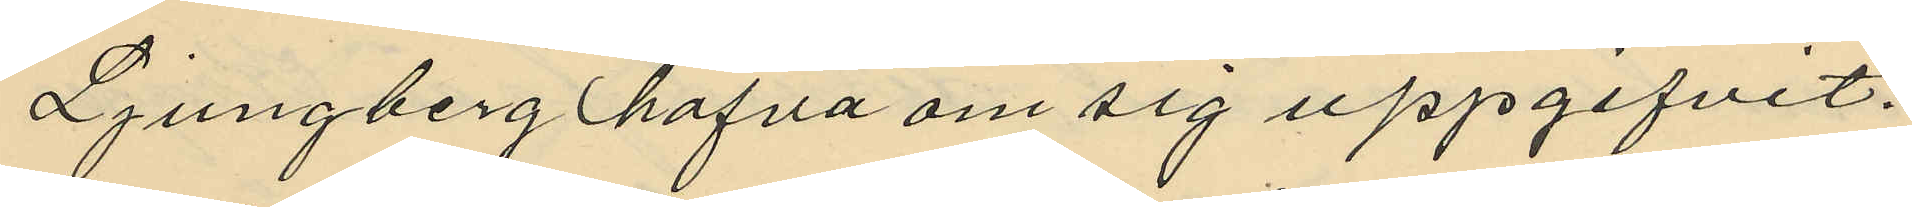Ljungberg hafva om sig uppgifvit.
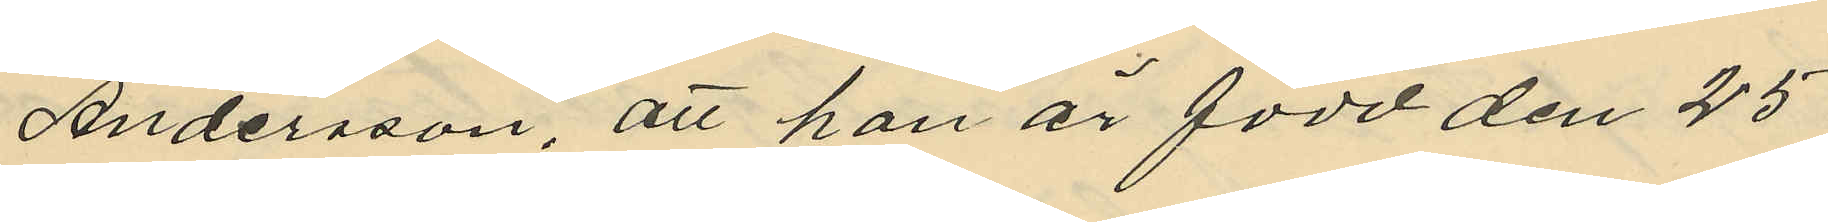Andersson, att han är född den 25
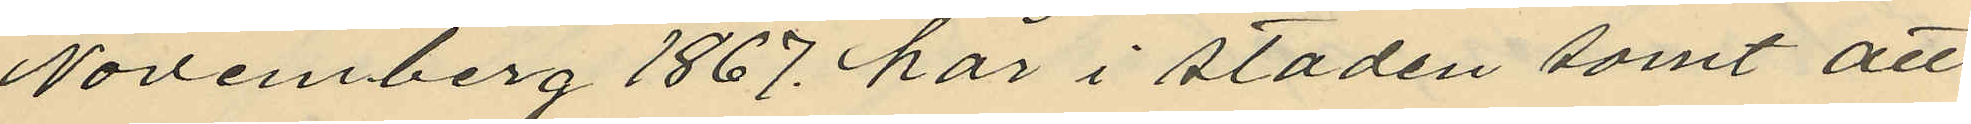Novemberg 1867 här i staden samt att
